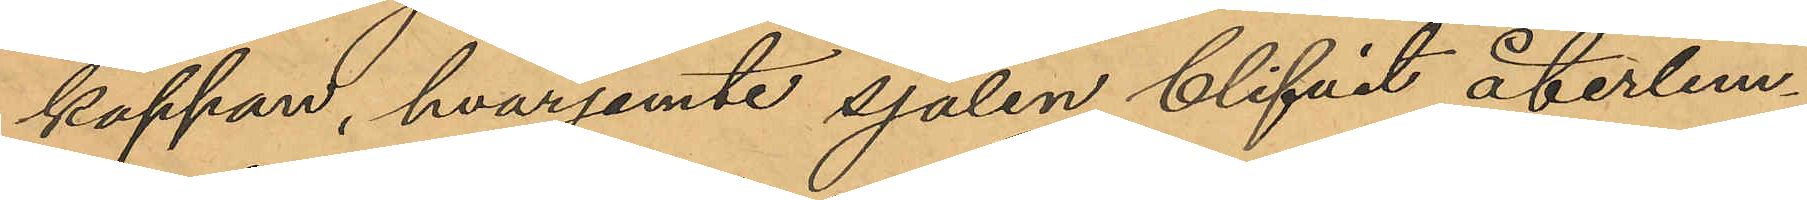kappan, hvarjemte sjalen blifvit återlem¬
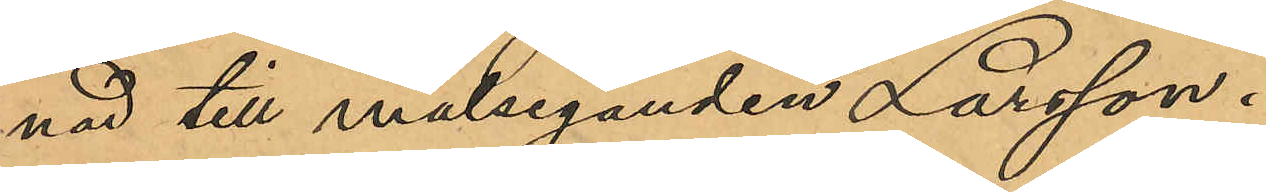nad till målseganden Larsson.
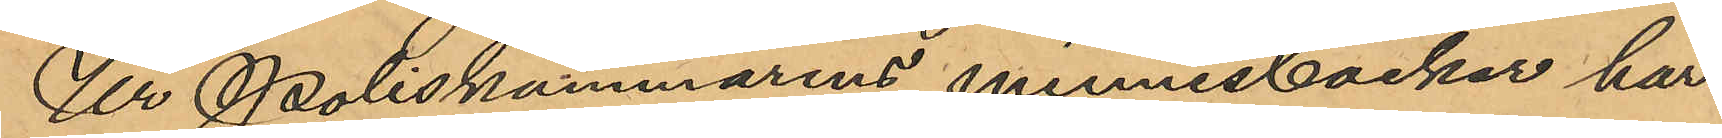Ur Poliskammarens minnesböcker har
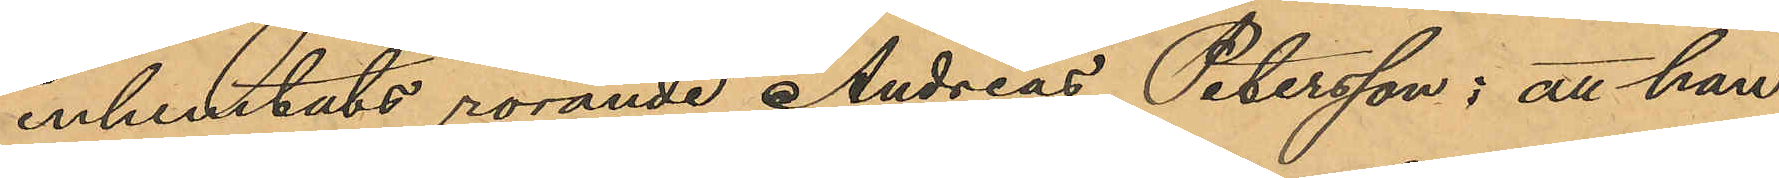inhemtats rörande Andreas Petersson; att han
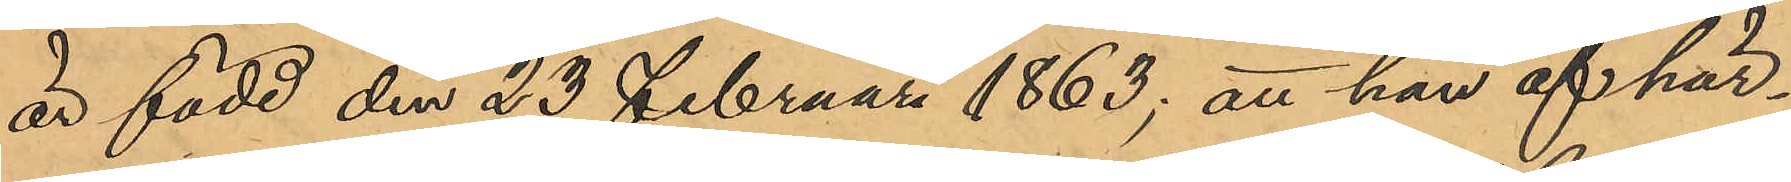är född den 23 Februari 1863; att han af här¬
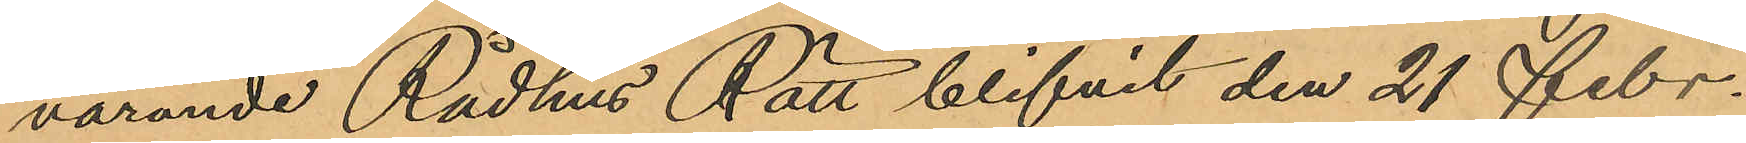varande Rådhus Rätt blifvit den 21 Febr.
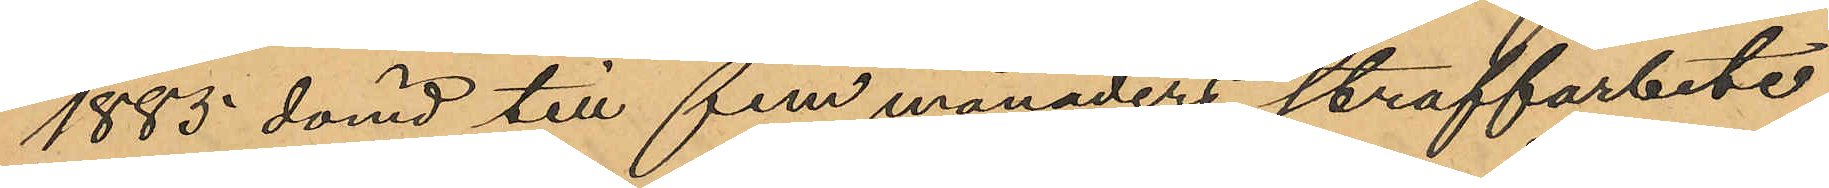1885 dömd till fem månaders straffarbete
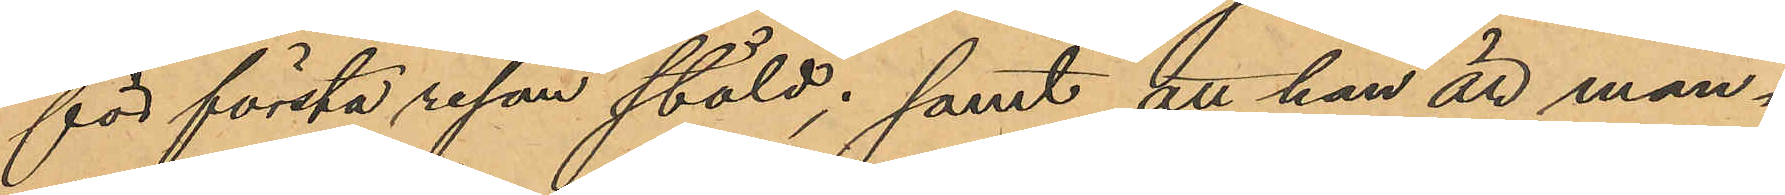för första resan stöld; samt att han är man¬
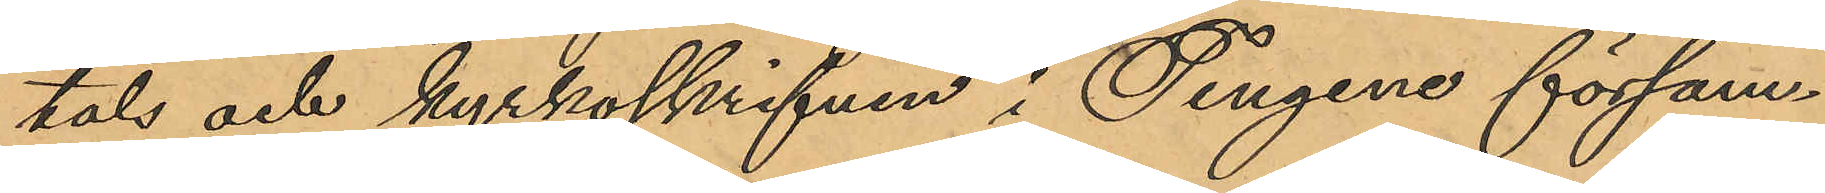tals och kyrkoskrifven i Tengene försam¬
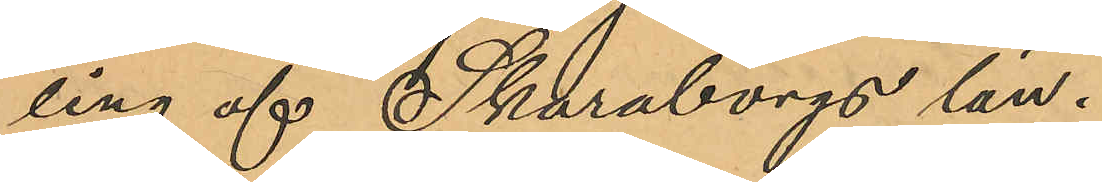ling af Skaraborgs län.
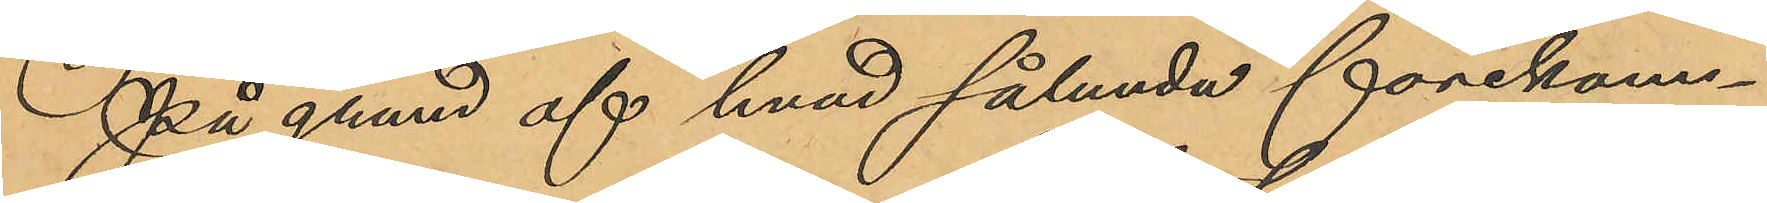På grund af hvad sålunda förekom¬
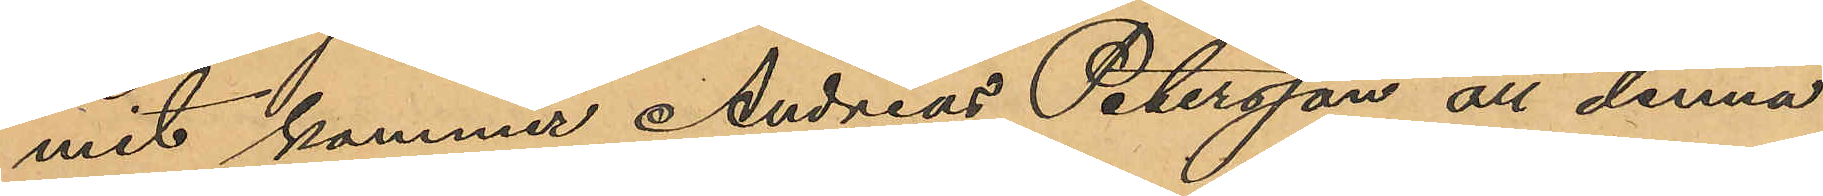mit kommer Andreas Petersson att denna
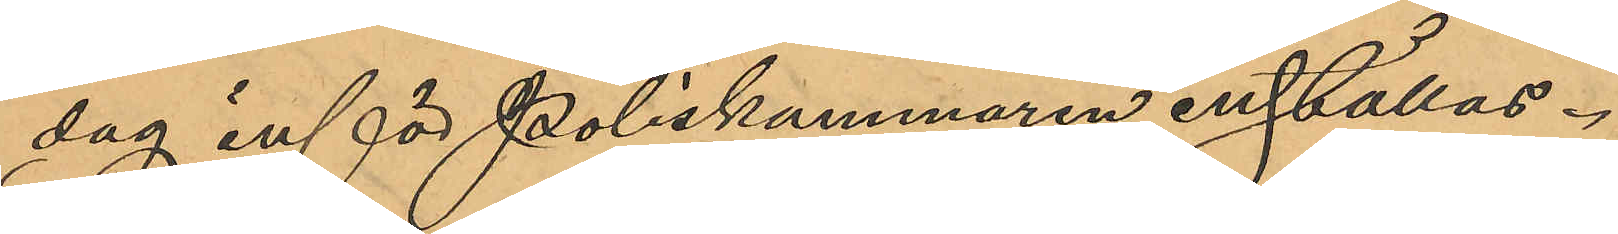dag inför Poliskammaren inställas.
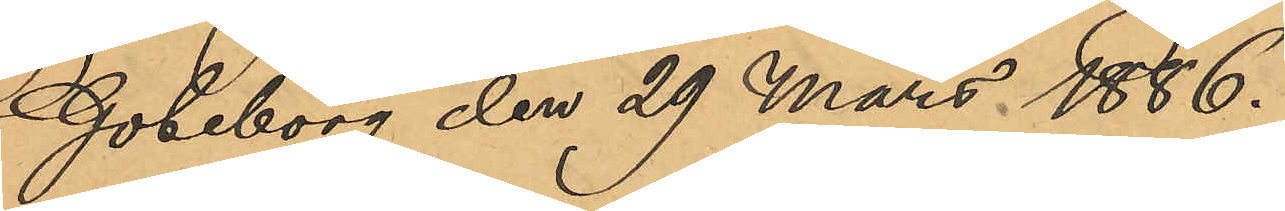Göteborg den 29 Mars 1886.
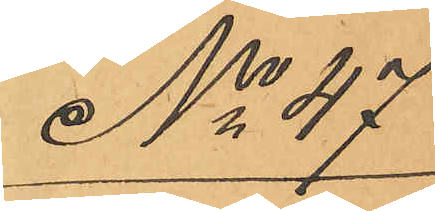No 47
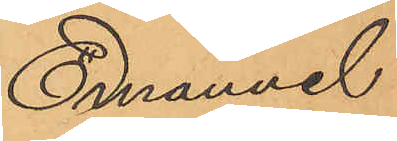Emanuel
